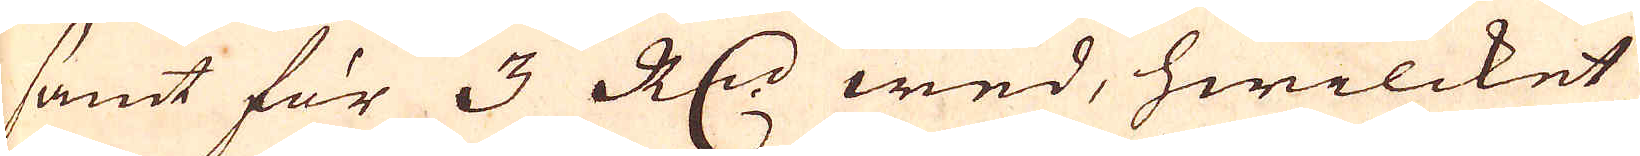samt för 3 R:dr wed, hwilcket
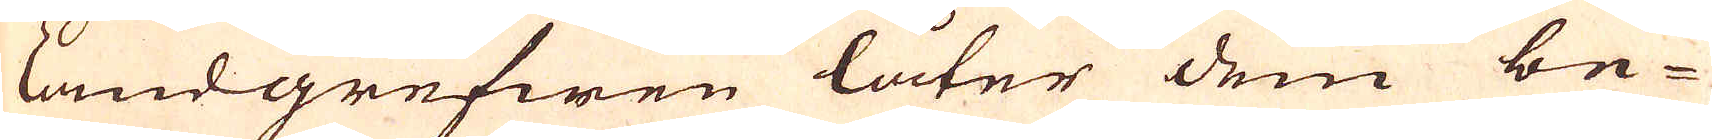landgrefwen låter dem be-
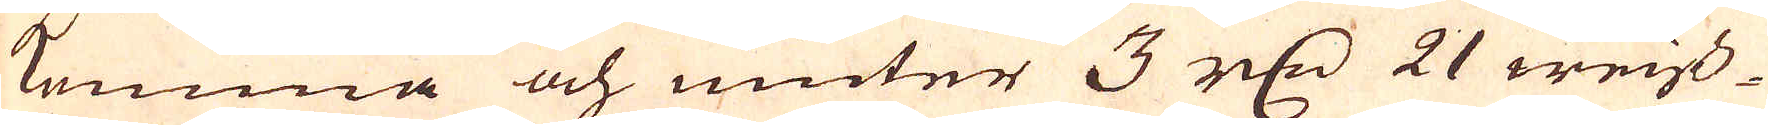komma och niuter 3 r:dr 21 weiss-
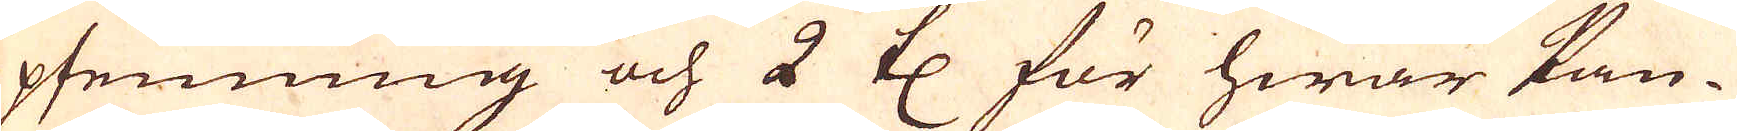pfenning och 2 th:r för hwar kan-
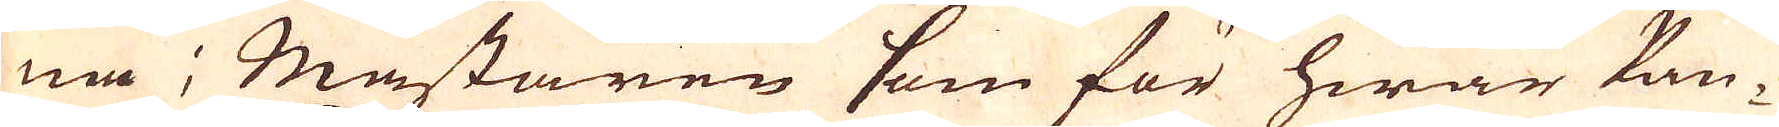na; Mästaren som för hwar kan-
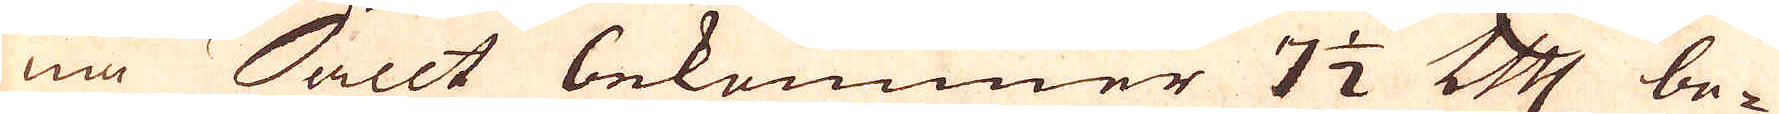na Sallt bekommer 7 1/2 Cologne mark be-
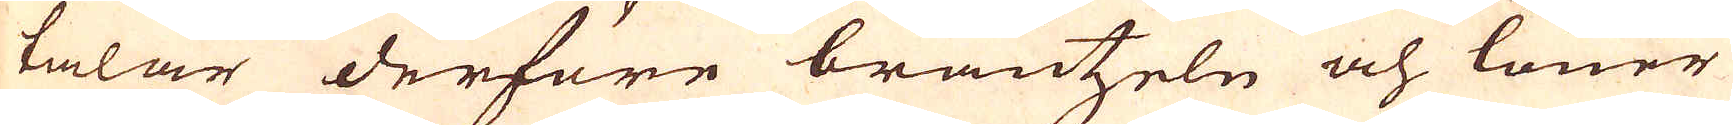talar derföre bräntzeln och löner
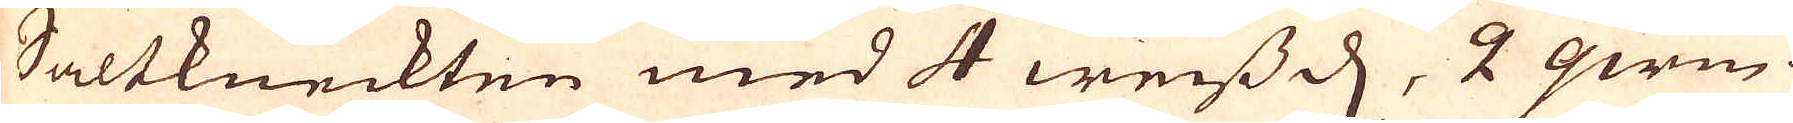Saltkneckten med 4 weiss d, 2 qwin-
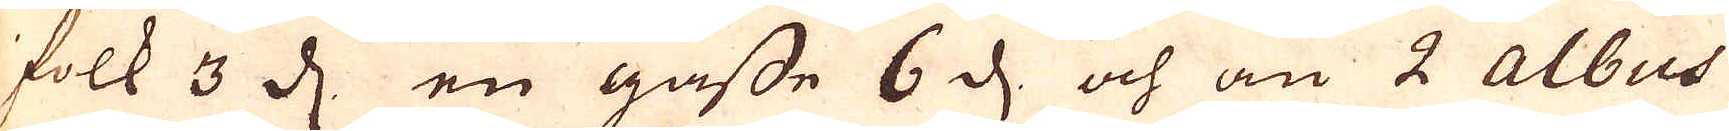folk 3 d. en gåsse 6 d. och än 2 Albus
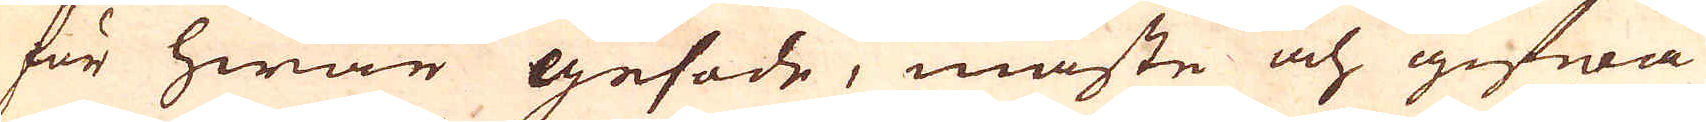för hwar gesode, måste och gifwa
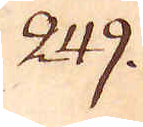249.
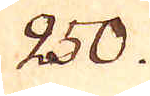250.
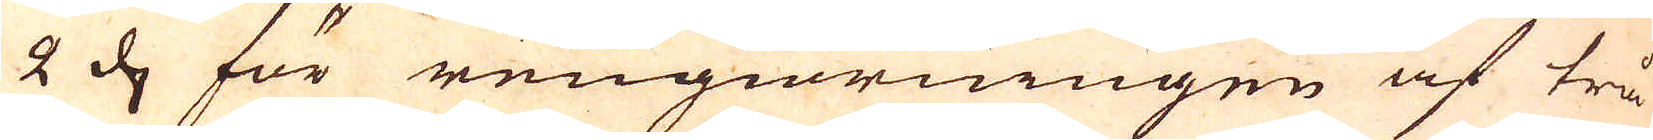2 d för rengiörningen af trå-
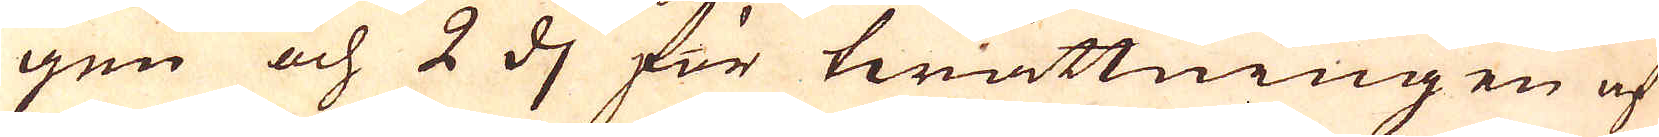gen och 2 d för twättningen af
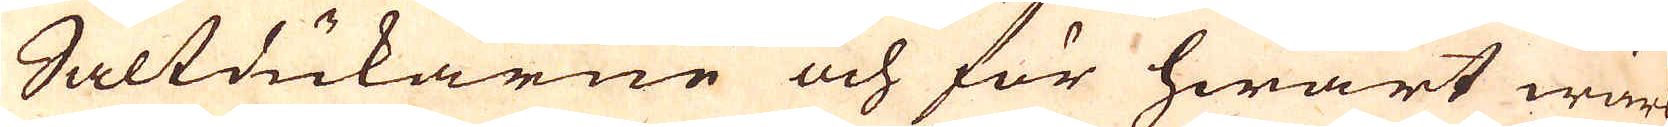Saltdukarne och för hwart wärk
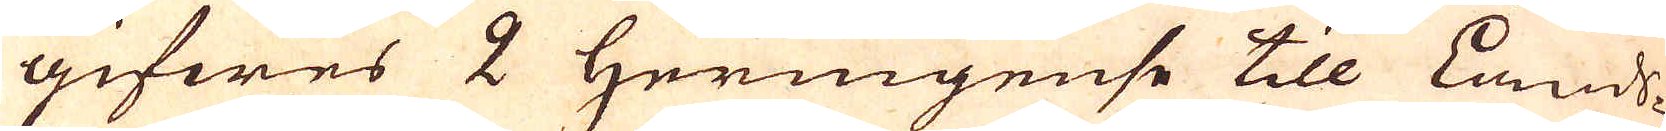gifwes 2 Heringense till Lands-
